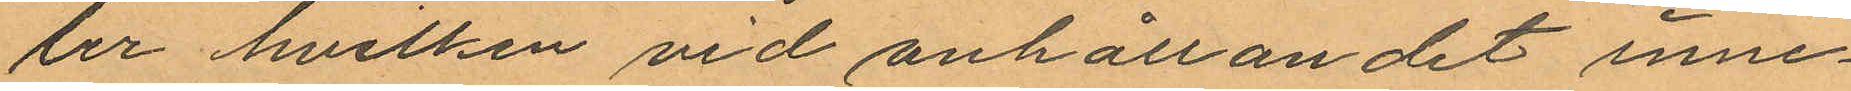ler hvilken vid anhållandet inne¬
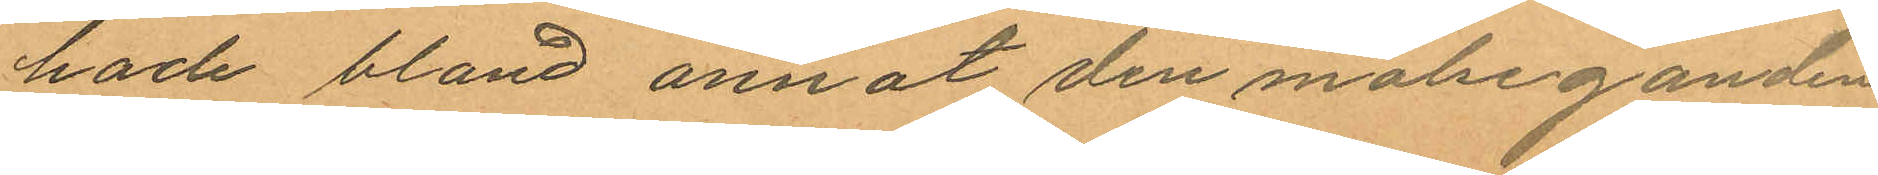hade bland annat den målseganden
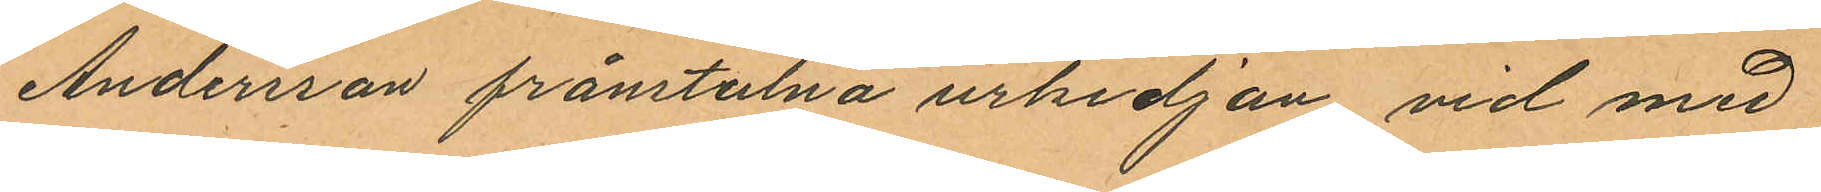Andersson frånstulna urkedjan, vid med
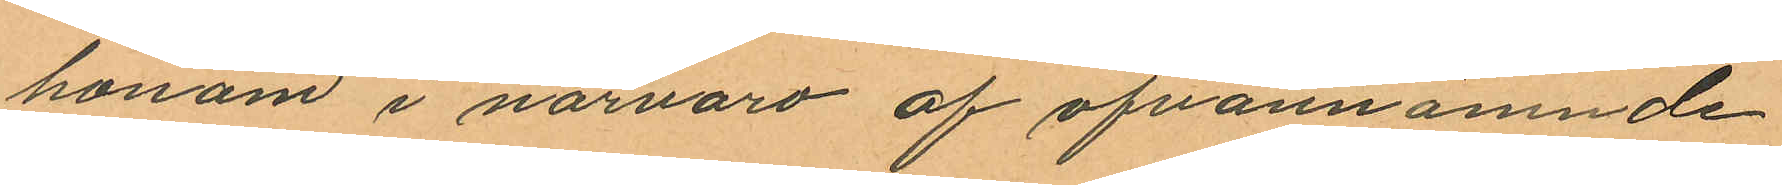honom i närvaro af ofvannämnde
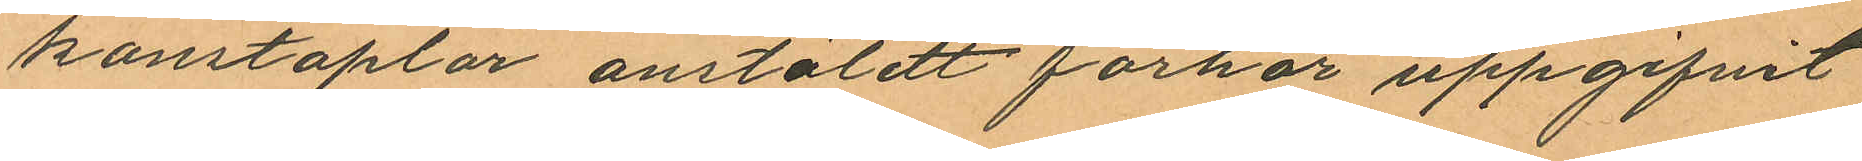konstaplar anstäldt förhör uppgifvit
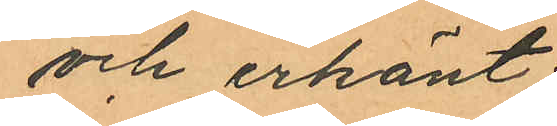och erkänt;
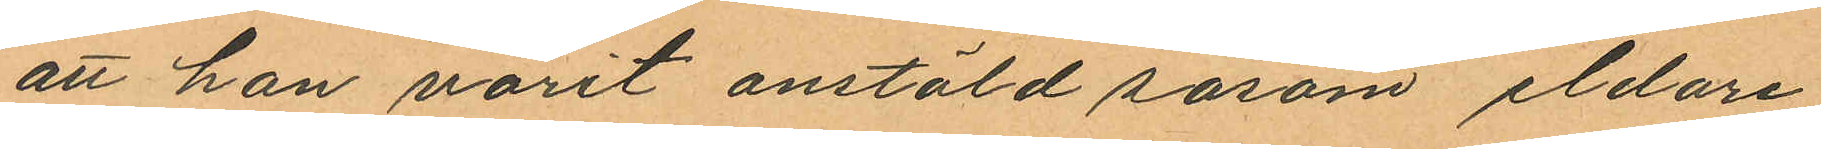att han varit anstäld såsom eldare
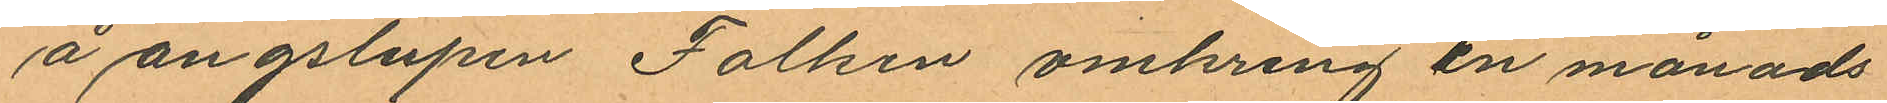å ångslupen Falken omkring en månads
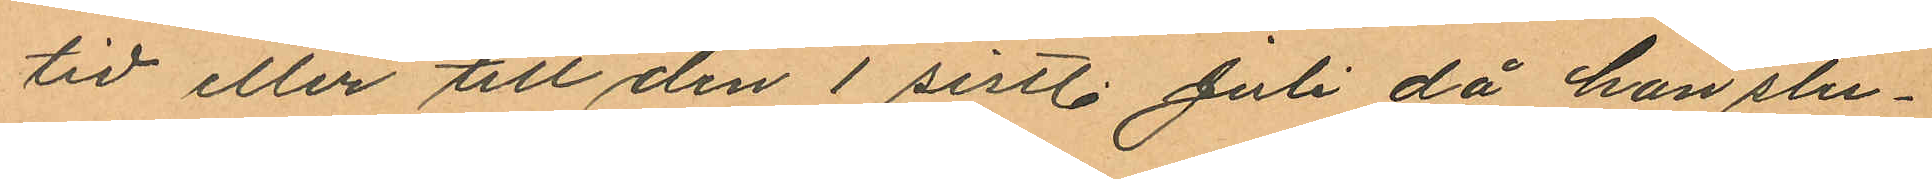tid eller till den 1 sistl. Juli då han slu¬
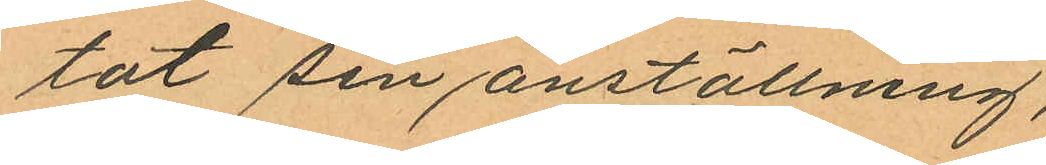tat sin anställning,
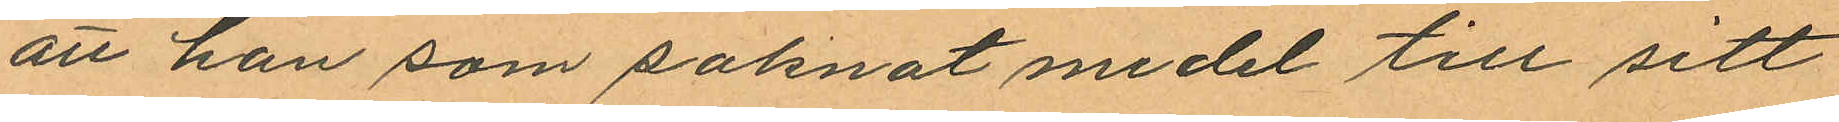att han som saknat medel till sitt
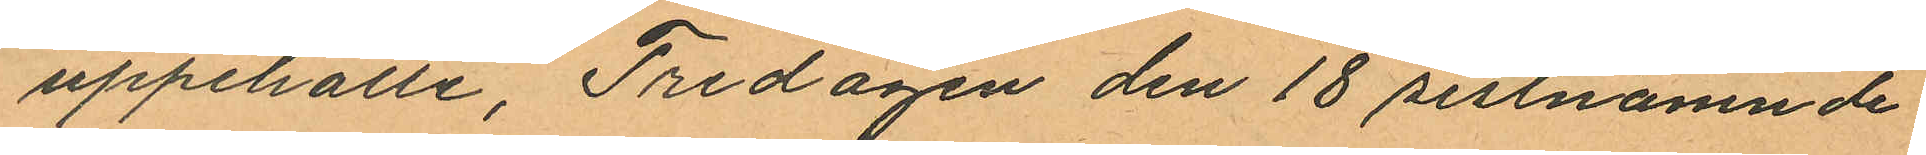uppehälle, Fredagen den 18 sistnämnde
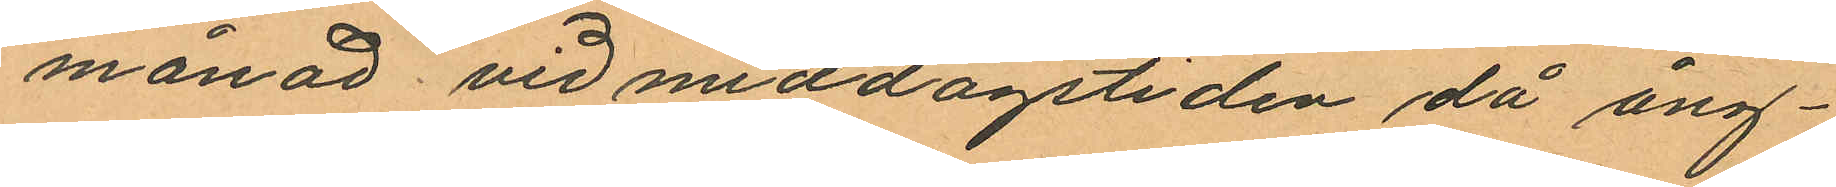månad vid middagstiden då ång¬
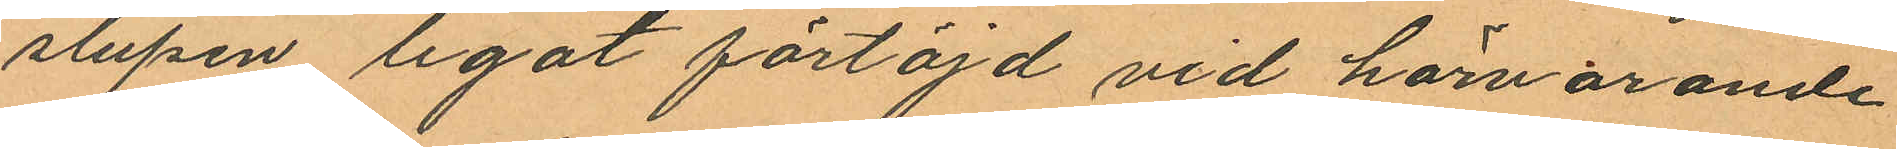slupen legat förtöjd vid härvarande
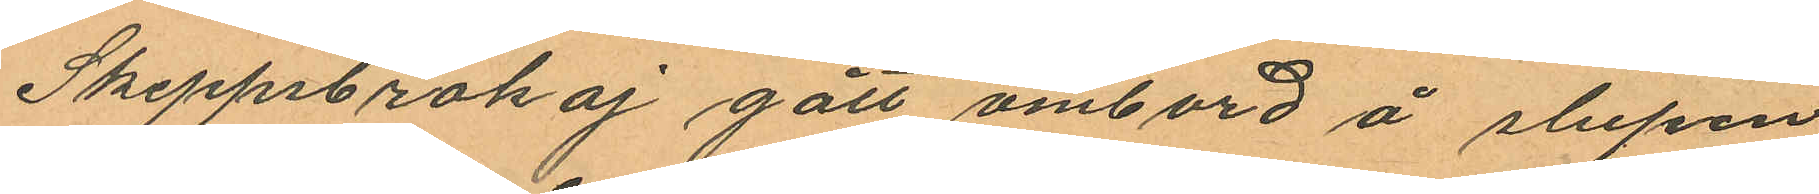Skeppsbrokaj gått ombord å slupen
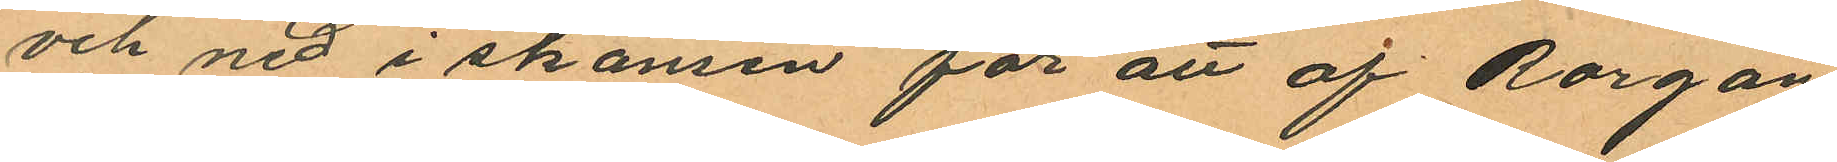och ned i skansen för att af Rorgän¬
